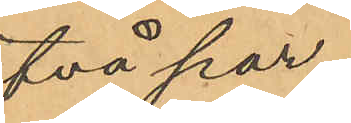två par,
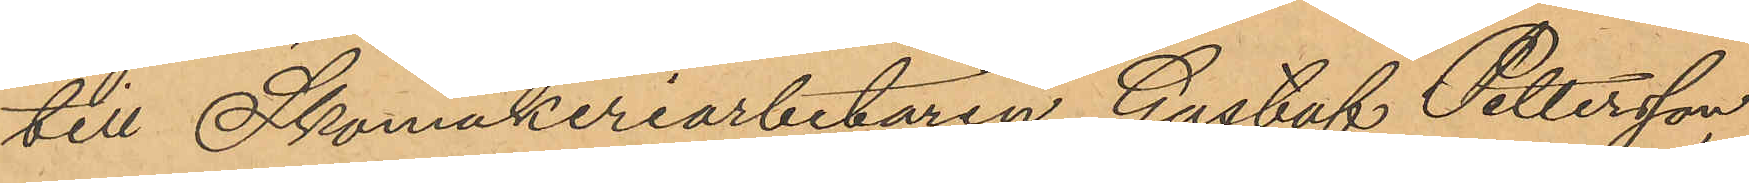till Skomakeriarbetaren Gustaf Pettersson,
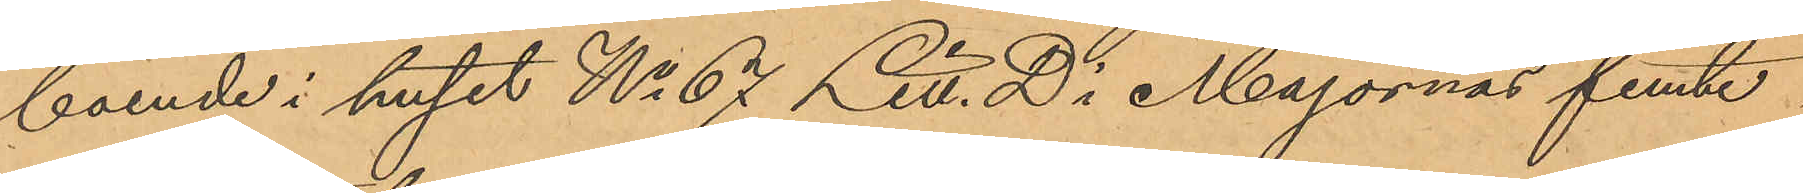boende i huset No 67 Litt. D i Majornas femte
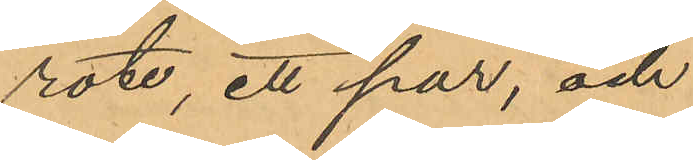rote, ett par, och
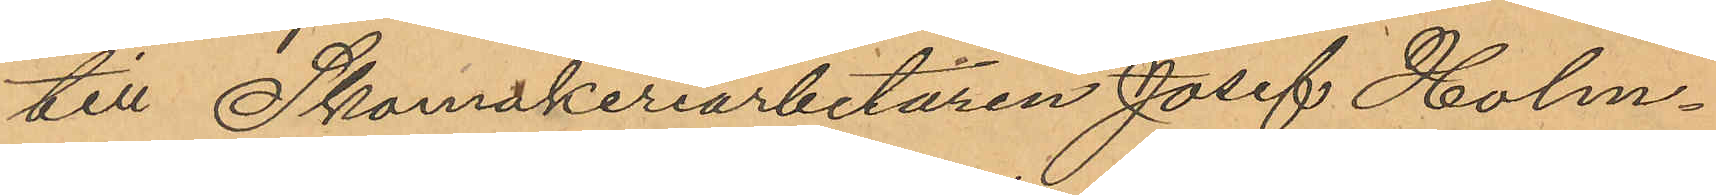till Skomakeriarbetaren Josef Holm¬
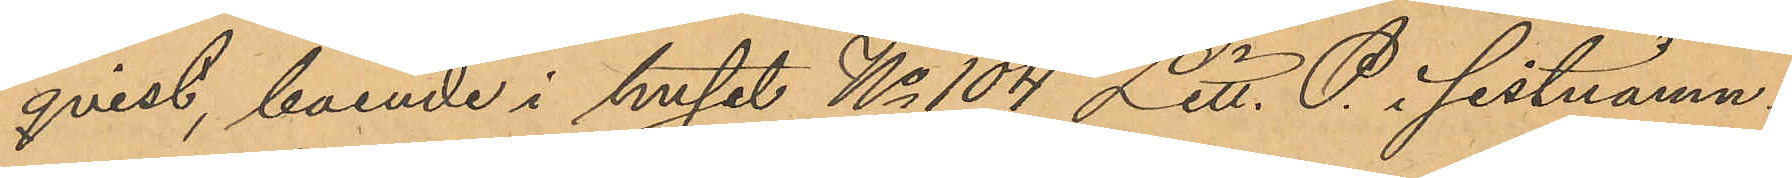qvist, boende i huset No 104 Litt. P. i sistnämn¬
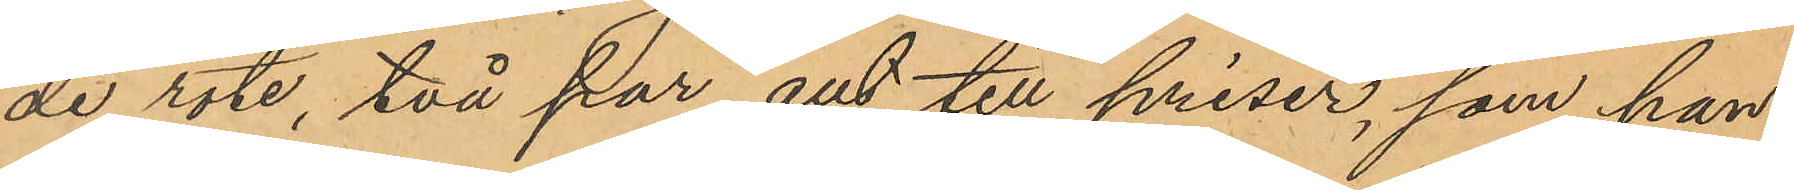de rote, två par, allt till priser, som han
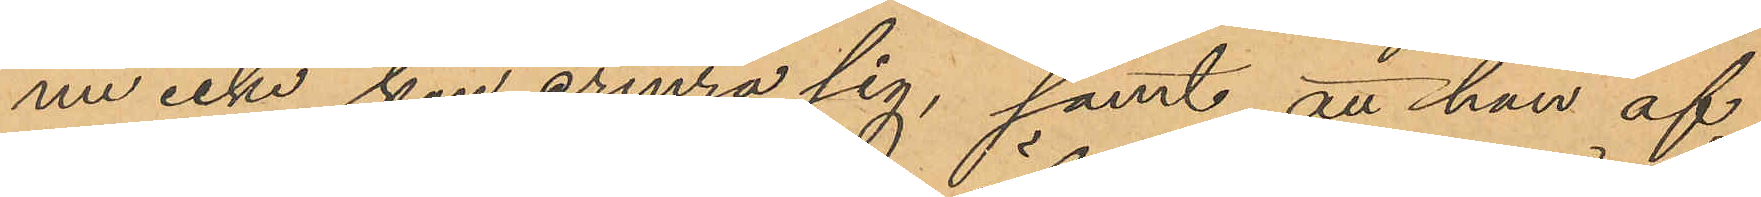nu icke kan erinra sig, samt att han af
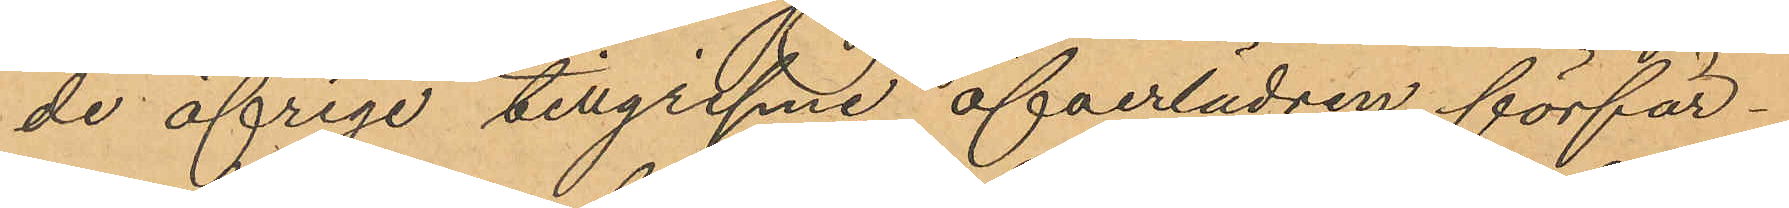de öfriga tillgripne öfverlädren förfär¬
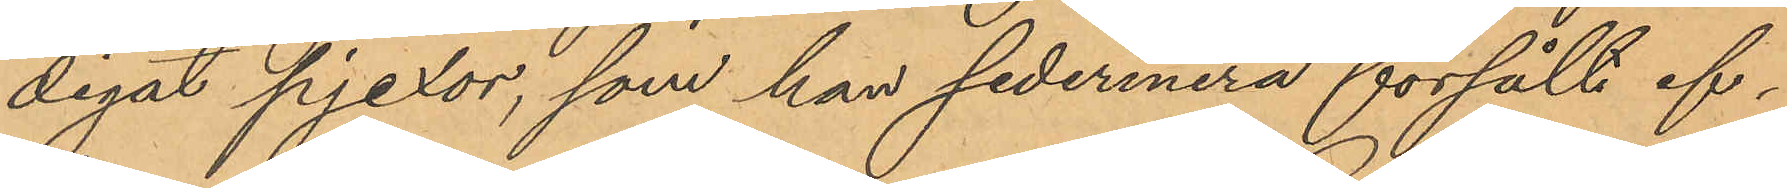digat pjexor, som han sedermera försålt ef¬
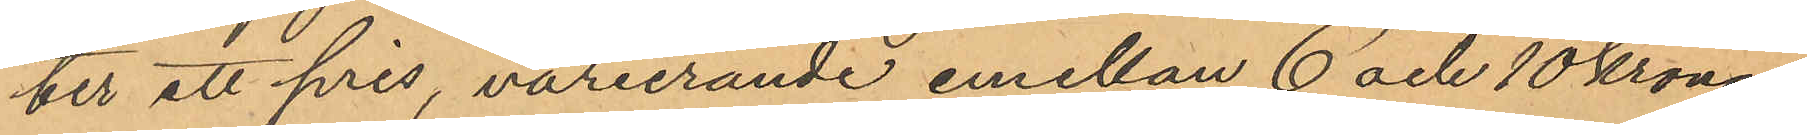ter ett pris, varierande emellan 6 och 10 kronor
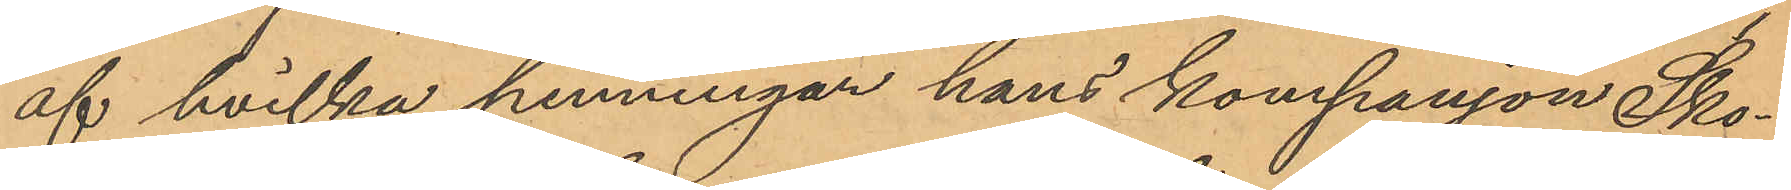af hvilka penningar hans kompanjon Sko¬
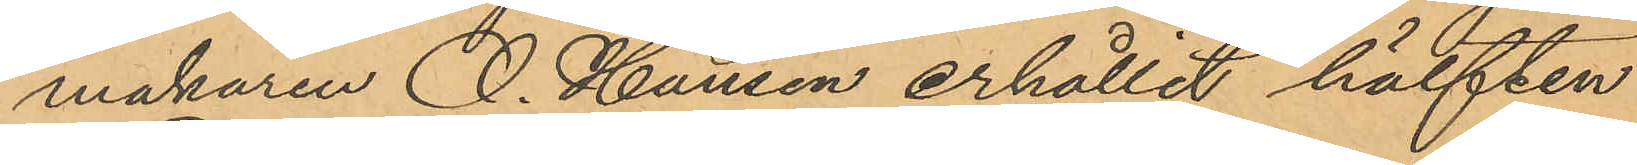makaren O. Hansen erhållit hälften.
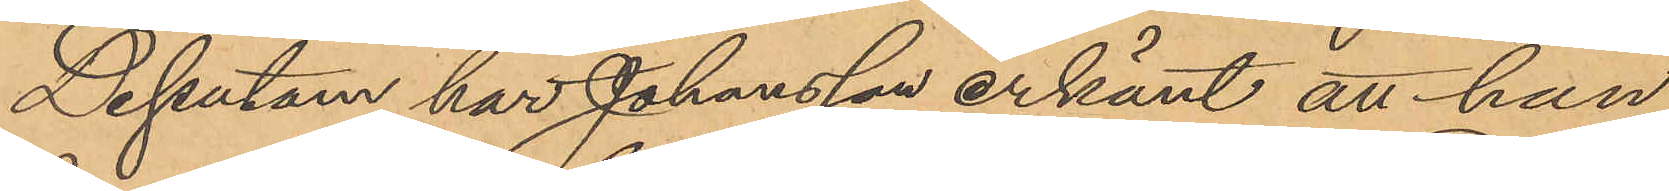Dessutom har Johansson erkänt att han
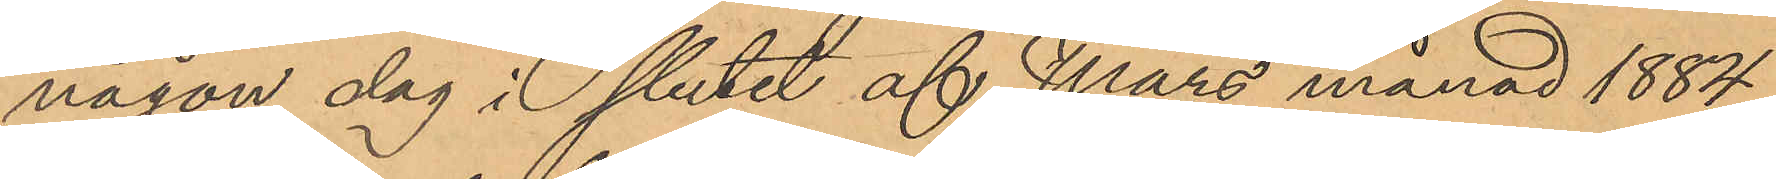någon dag i slutet af Mars månad 1884,
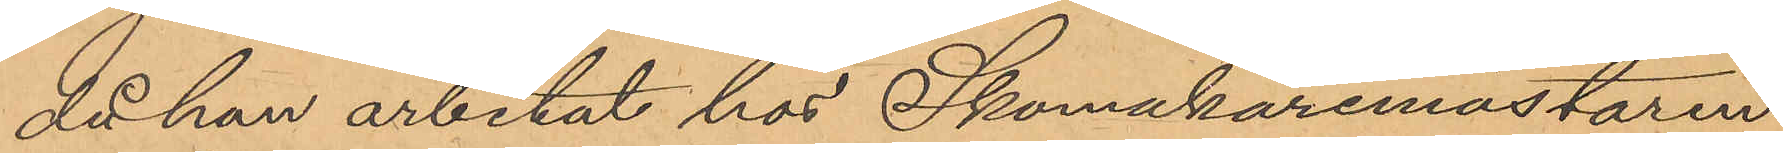då han arbetat hos Skomakaremästaren
